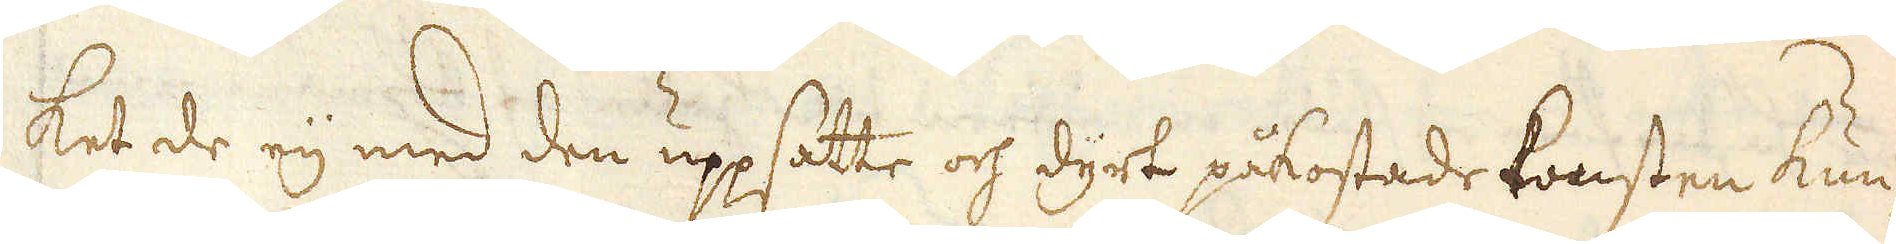ket de eij med den uppsatte och dyrt påkostade konsten kun-
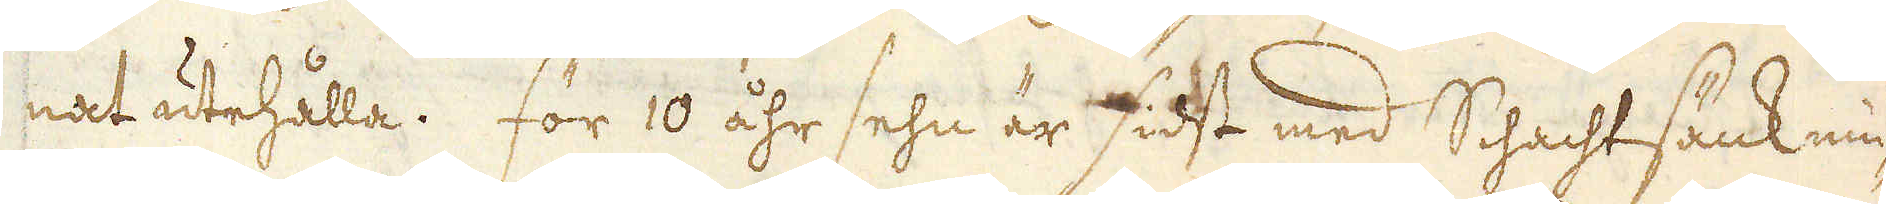nat utehålla. För 10 åhr sehn er sidst med Schachtsänknin-
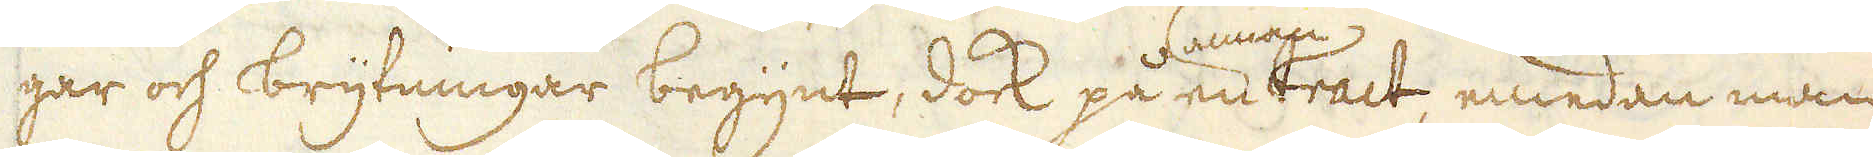gar och brytningar begynt, dock på en annan tract, emedan man
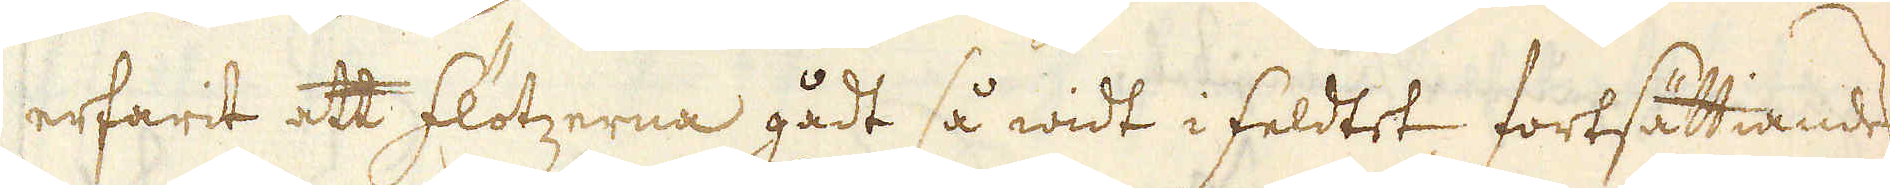erfarit att flötzerna gådt så widt i feldtet, fortsättiandes
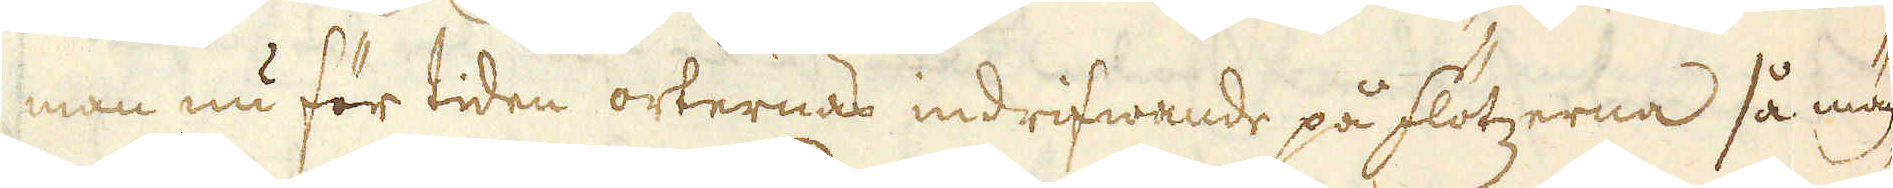man nu för tiden orternas indrifwande på flötzerna så mäch-
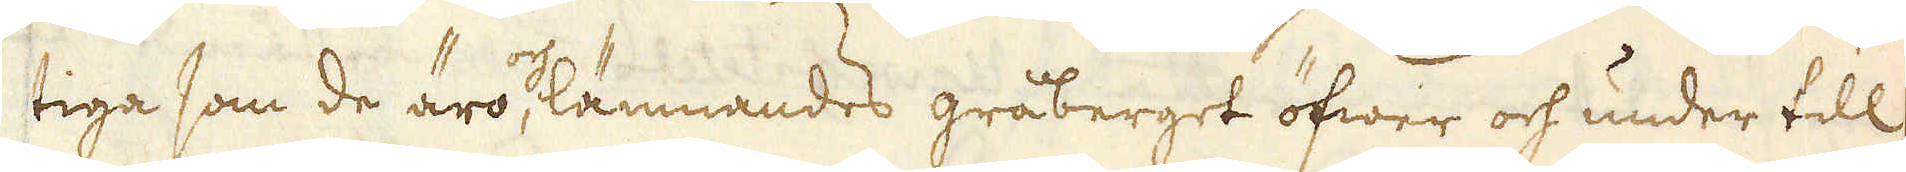tiga som de äro, och lämnandes gråberget öfwer och under till
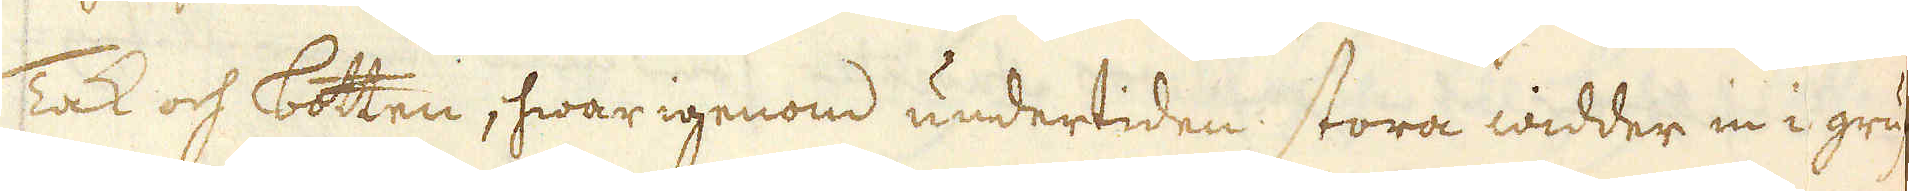Tak och botten, hwar igenom undertiden stora widder in i gruf-
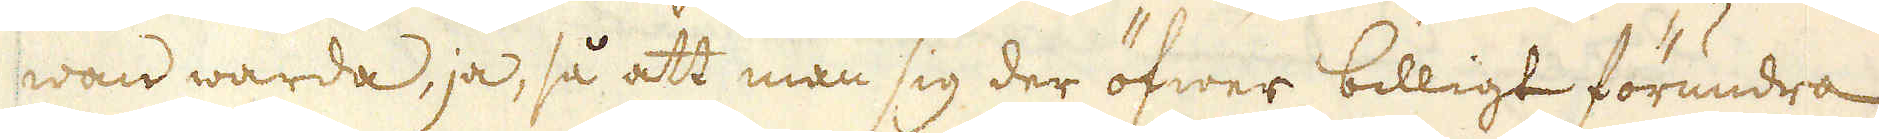wan warda, ja, så att man sig der öfwer billigt förundra
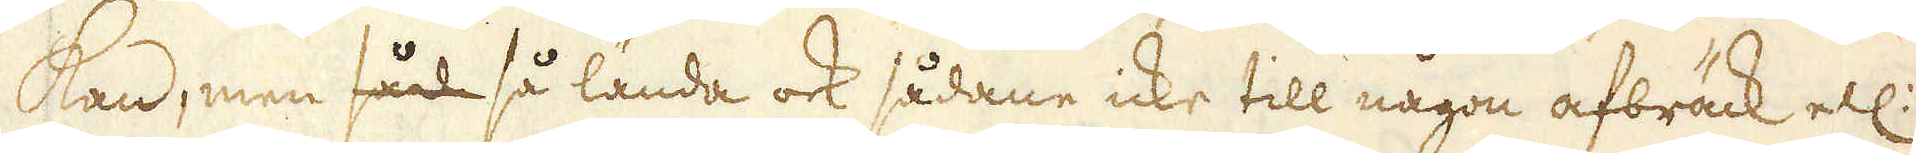kan, men såd så lända ock sådane icke till någon afbräck ell:
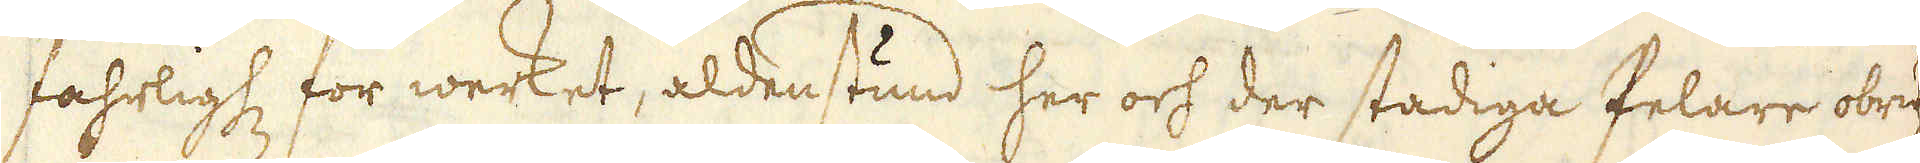fahrligh:t för werket, aldenstund her och der stadiga Pelare obru-
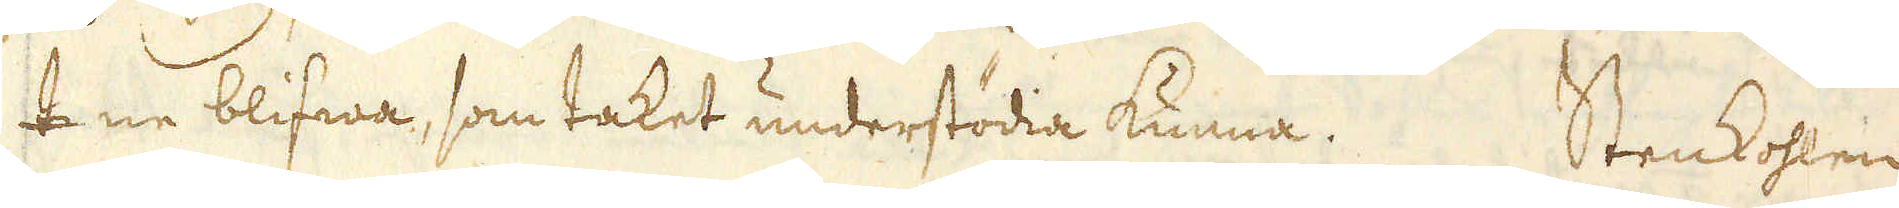tne blifwa, som taket understödia kunna. Stenkohlen
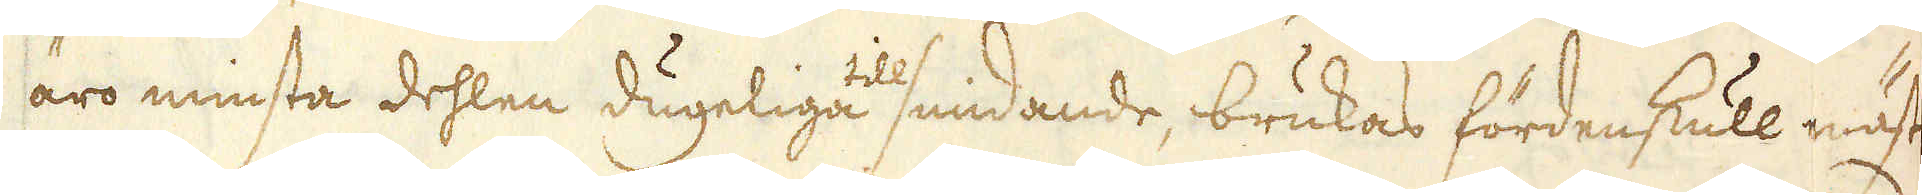äro minsta dehlen dugeliga till smidande, brukas fördenskull mäst
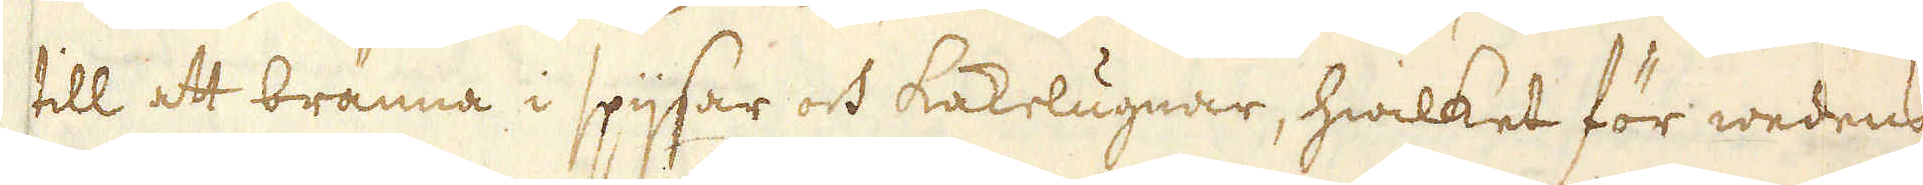till att bränna i spijsar och kakelugnar, hwilket för wedens
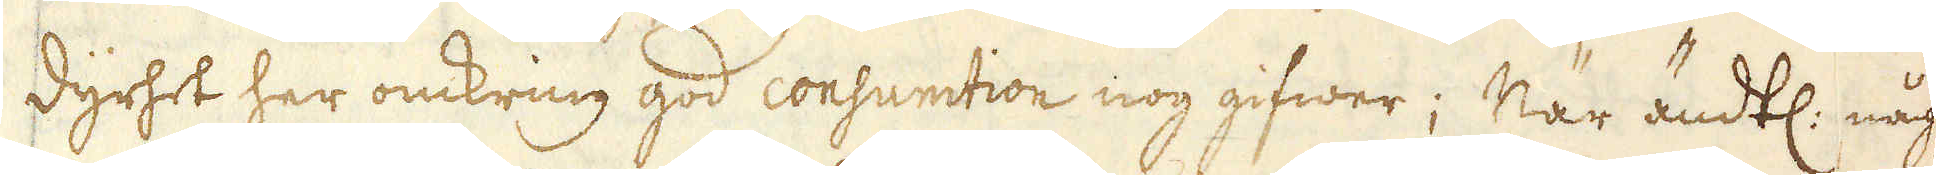dyrhet her omkring god consumtion nog gifwer; När ändtl: någ-
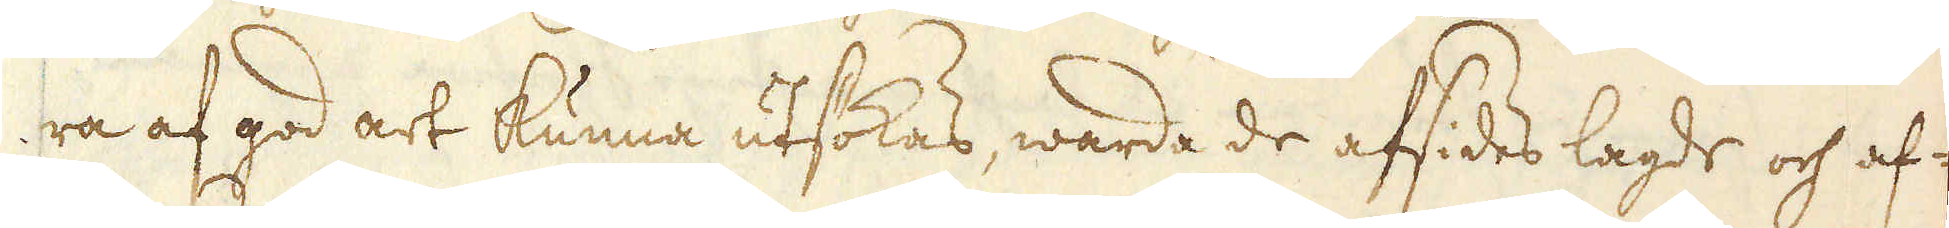ra af god art kunna utsökas, warda de afsides lagde och af-
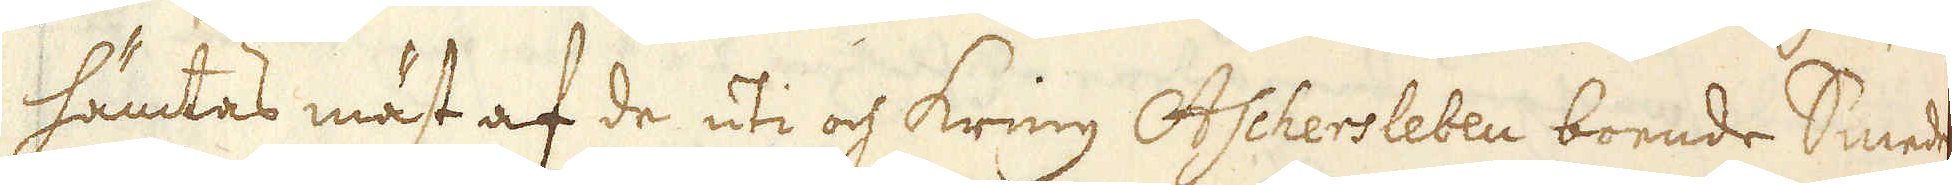hämtas mäst af de uti och kring Aschersleben boende Smeder
